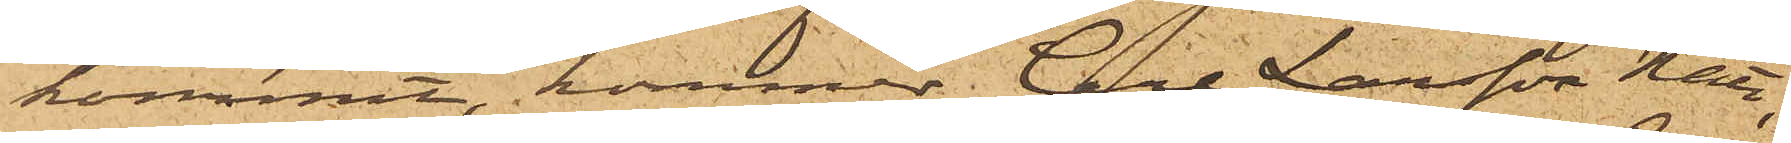kommit, kommer Carl Larsson Nätt,
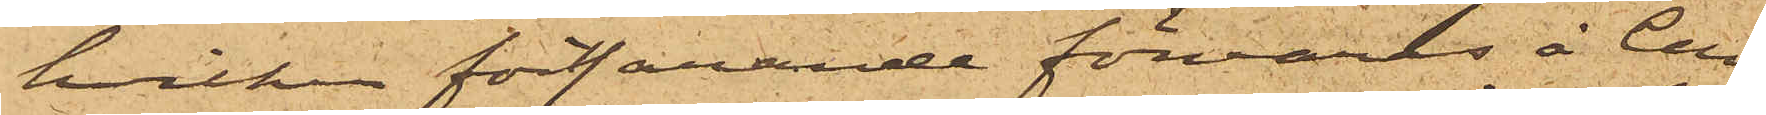hvilken fortfarande förvaras å Cell¬
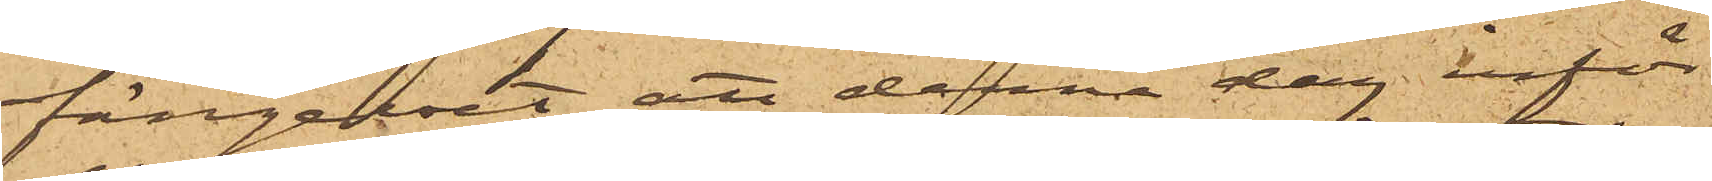fängelset, att denna dag inför
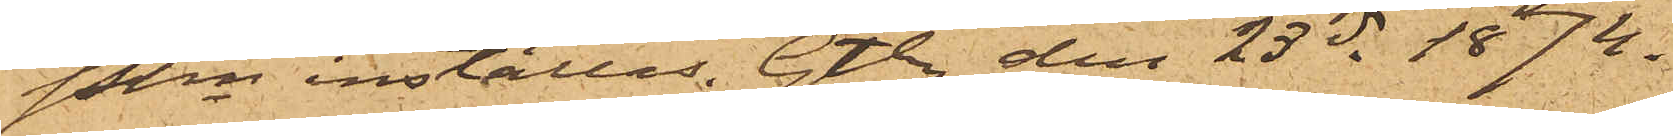Pkn inställas. Gtbg den 23 ds 1874.
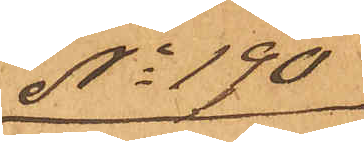No 190
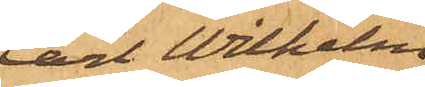Carl Wilhelm
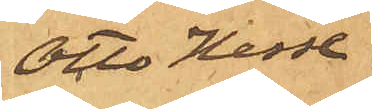Otto Hesse
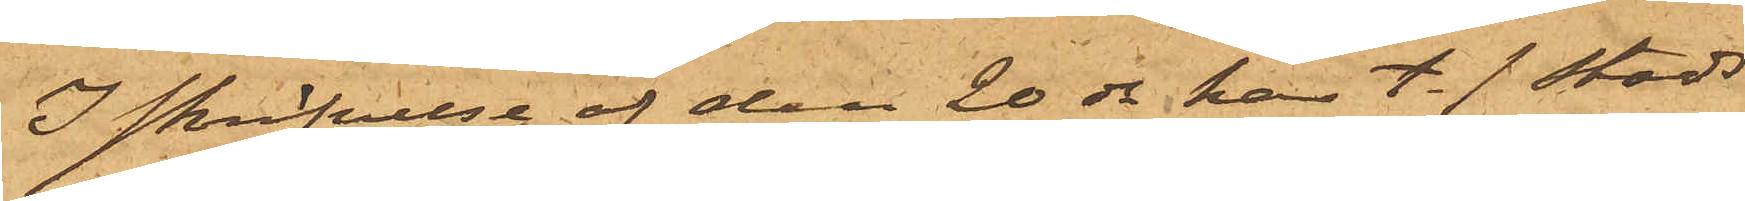I skrifvelse af den 20 ds har t. f. stads¬
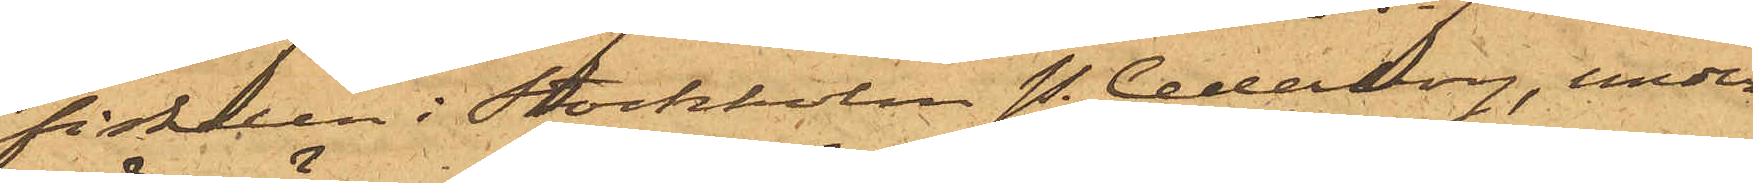fiskalen i Stockholm P. Cederborg, under
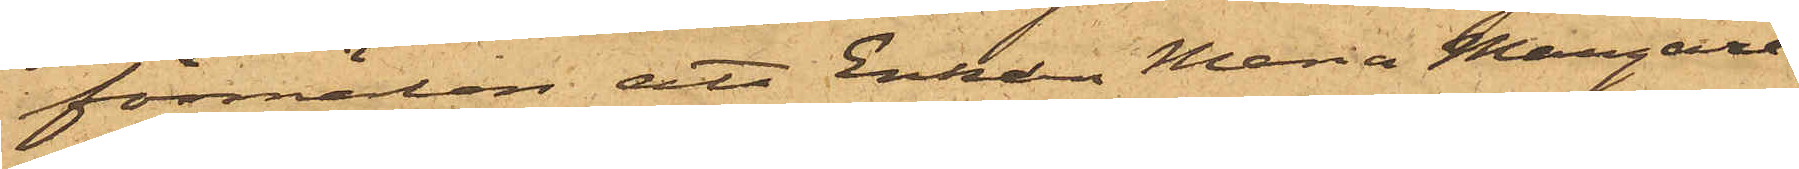förmälan att Enkan Maria Margare¬
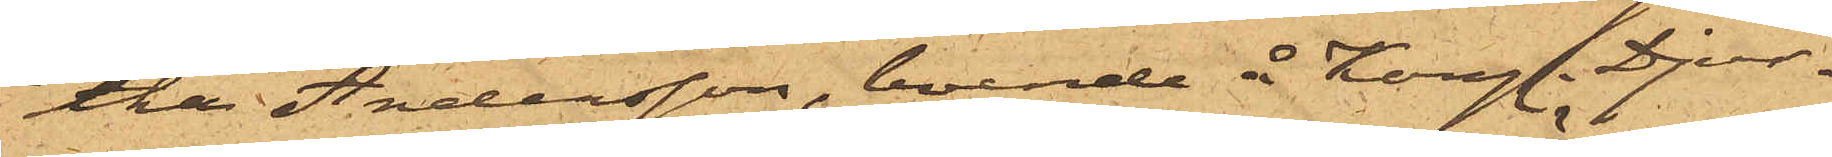tha Andersson, boende å Kongl. Djur¬
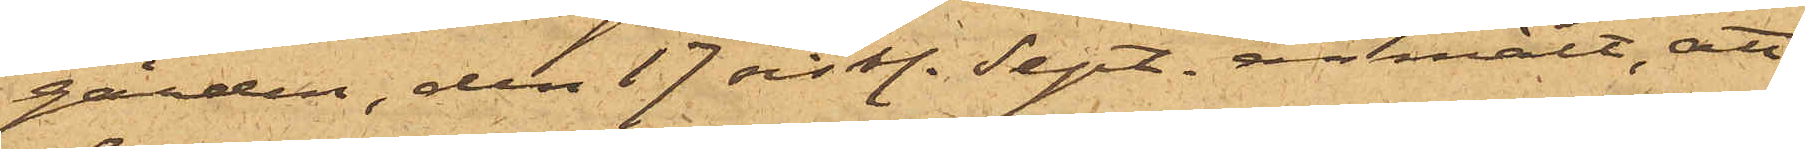gården, den 17 sist. Sept. anmält, att
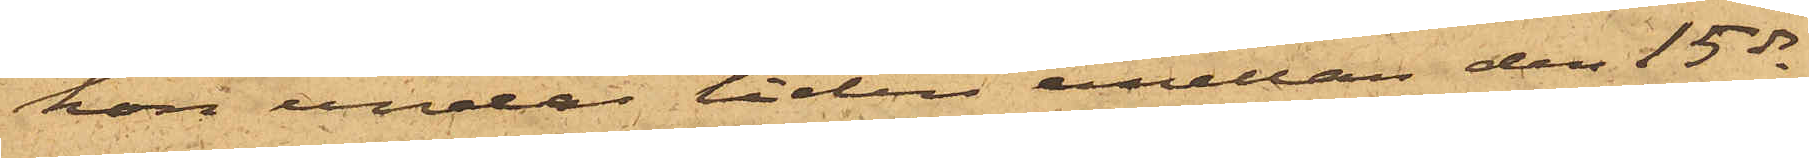hon under tiden emellan den 15 ds
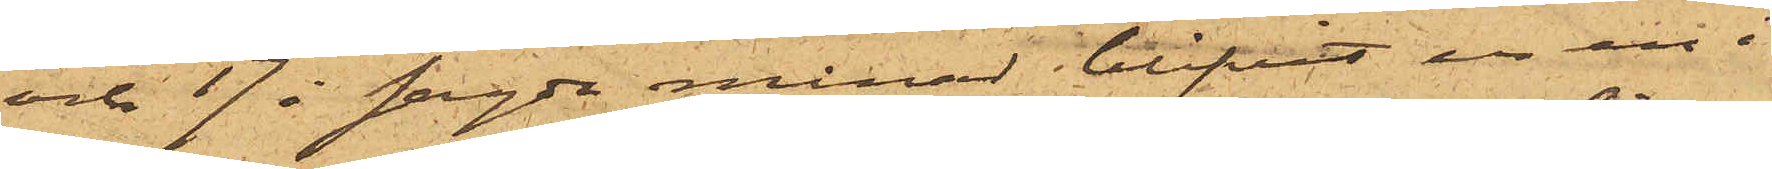och 17 i sagde månad blifvit ur en i
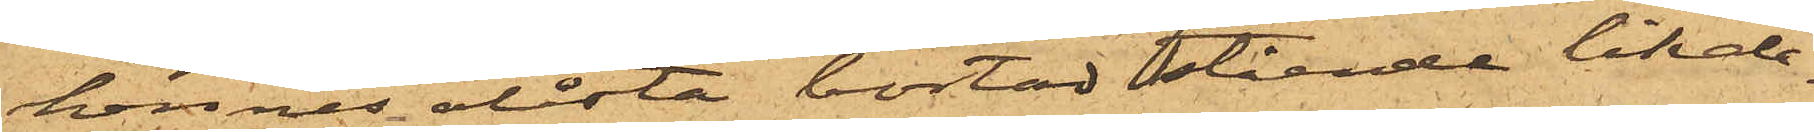hennes olåsta bostad stående likale¬
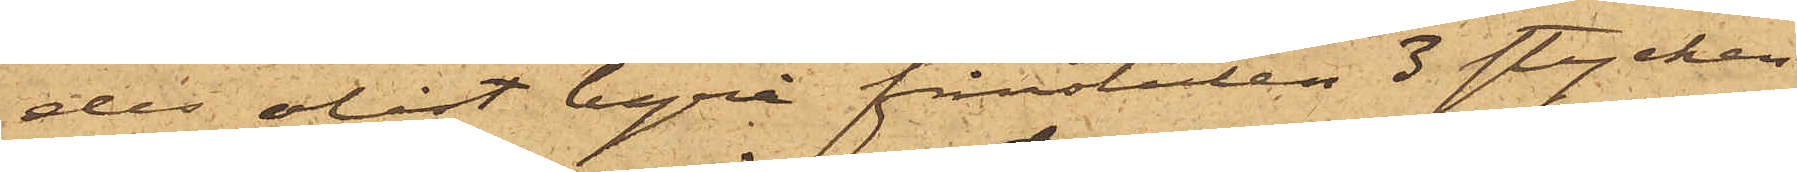des olåst byrå frånstulen 3 stycken
